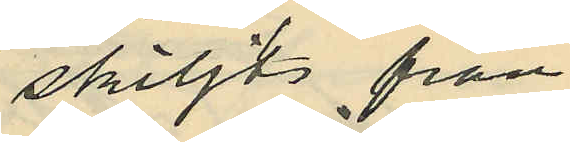skiljts från
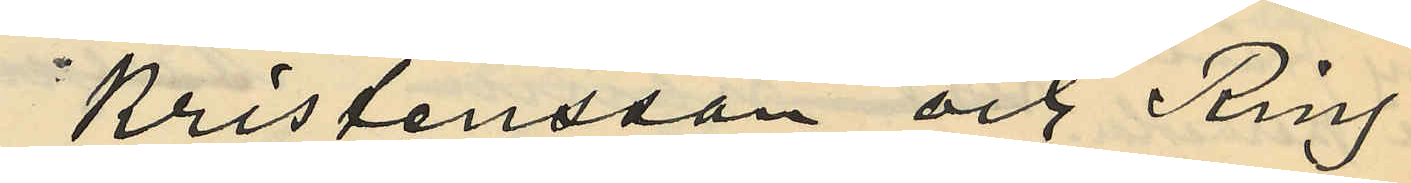Kristensson och Ring
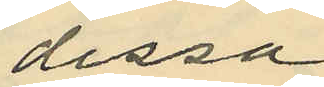dessa
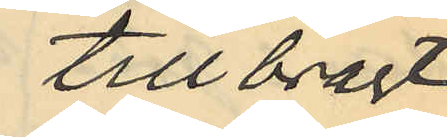tillbragt
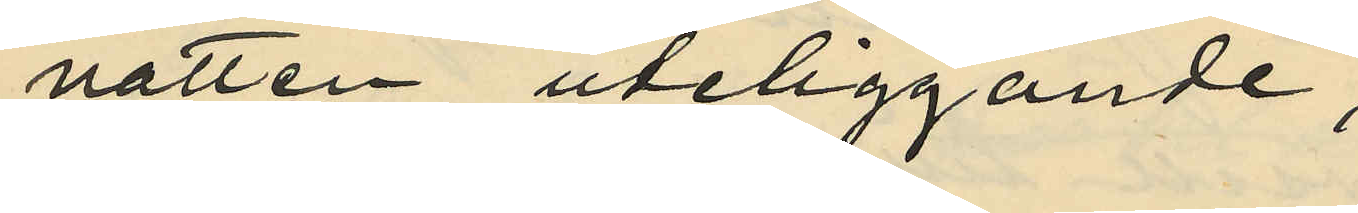natten uteliggande;
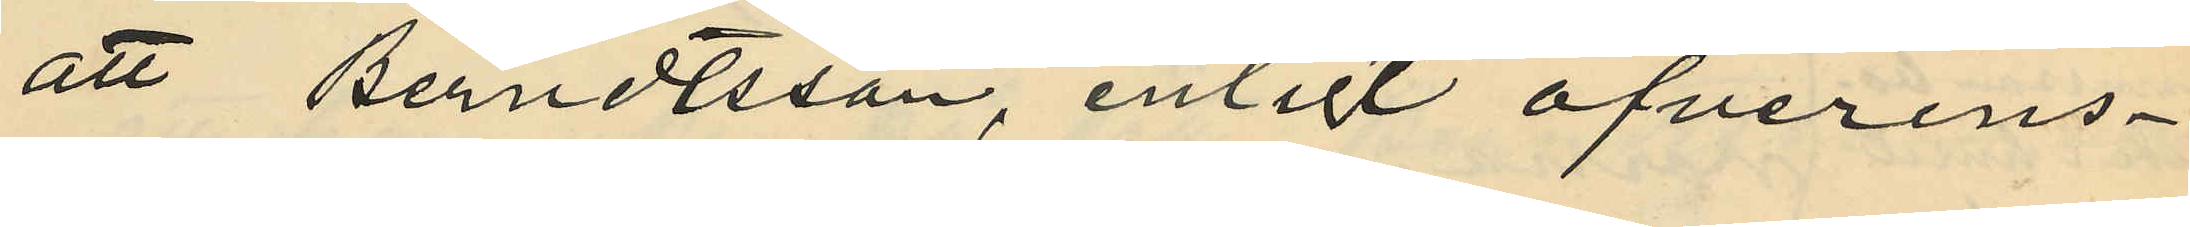att Berndtsson, enligt öfverens¬
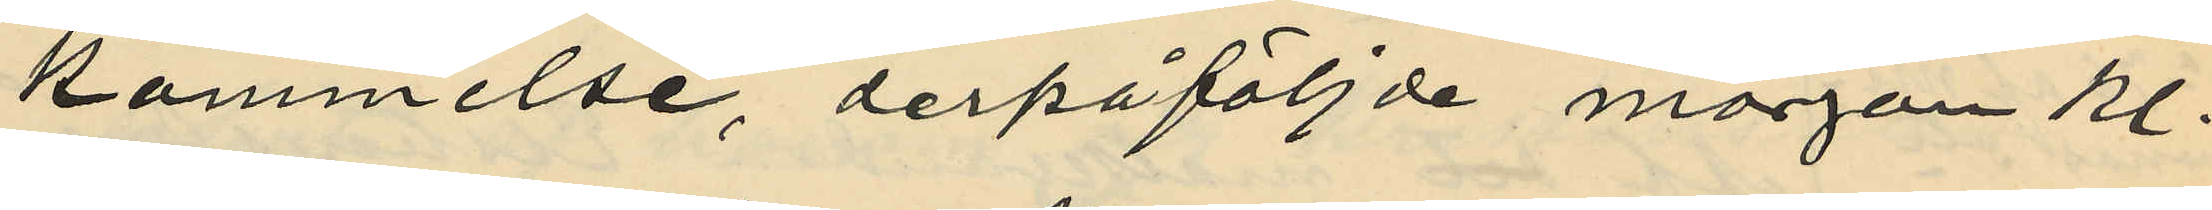kommelse, derpåföljde morgon kl.
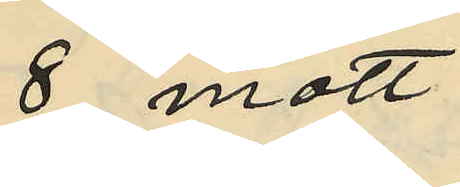8 mött
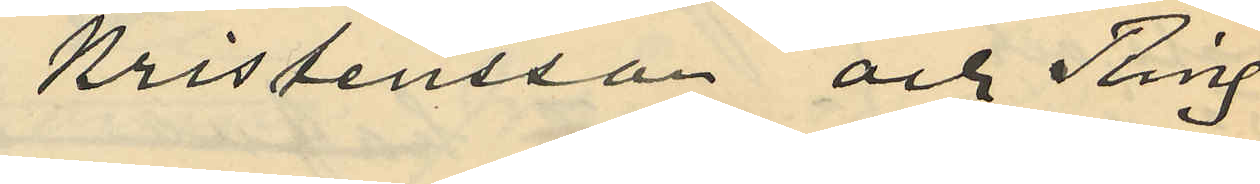Kristensson och Ring
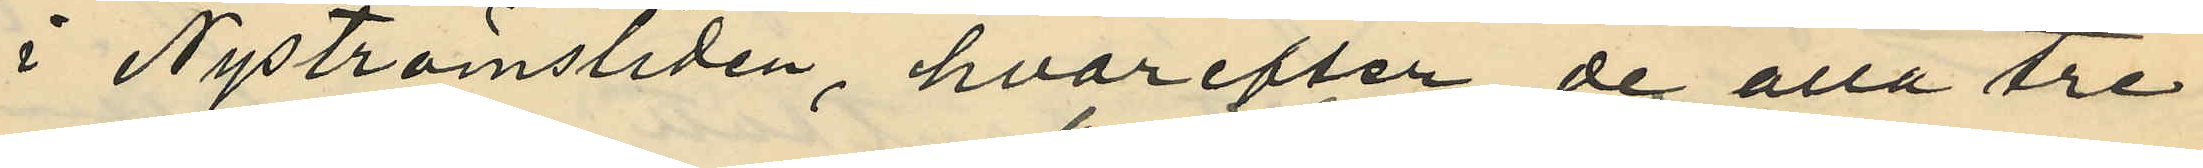i Nyströmsliden, hvarefter de alla tre
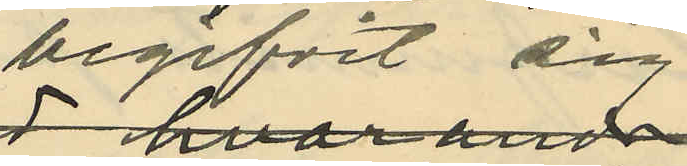begifvit sig 
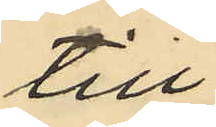till
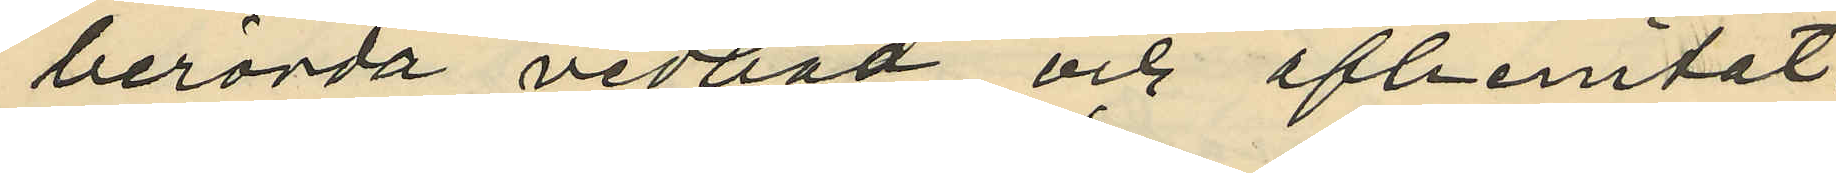berörda vedbod och afhemtat
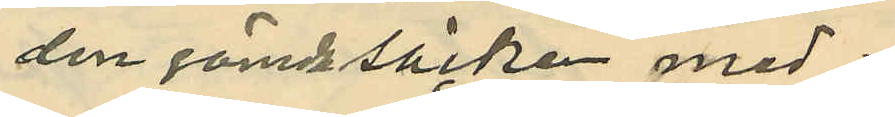den gömda säcken med
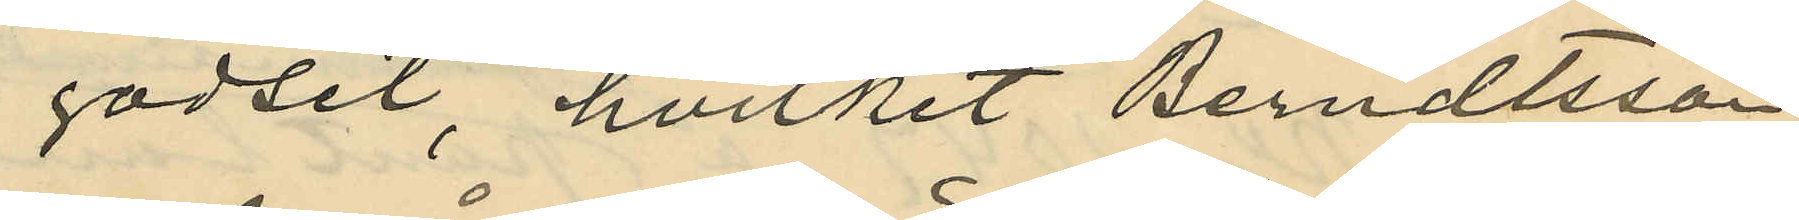godset, hvilket Berndtsson
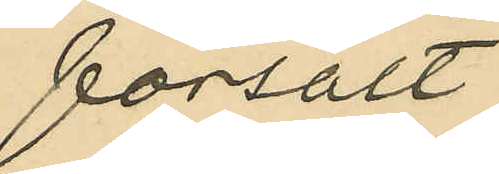försålt
